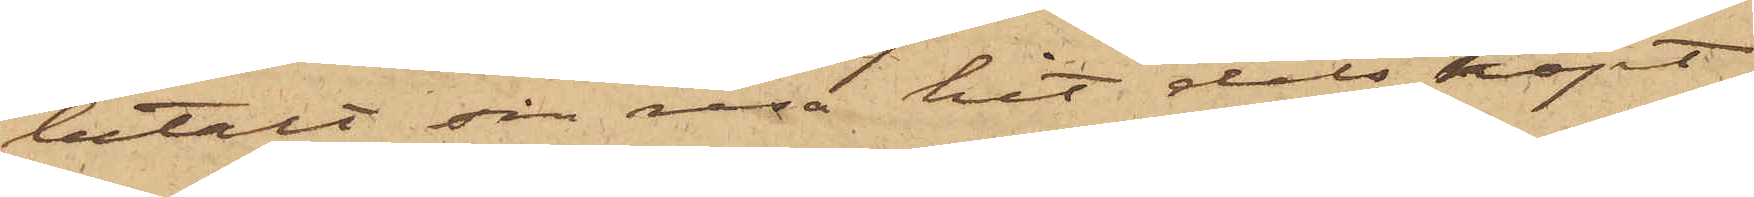betalt sin resa hit dels köpt
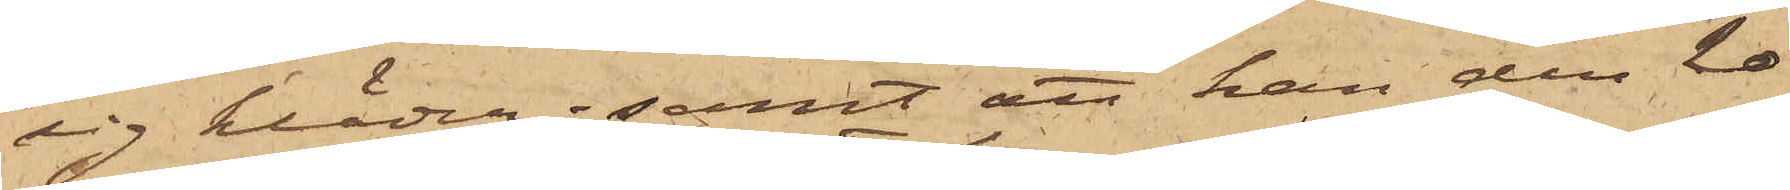sig kläder; samt att han den 20
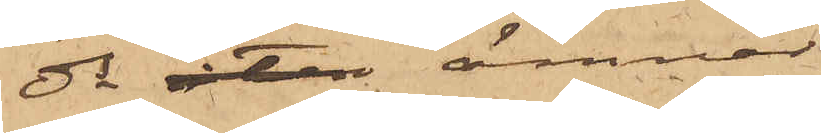ds åter ämnar
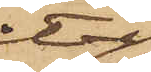åter
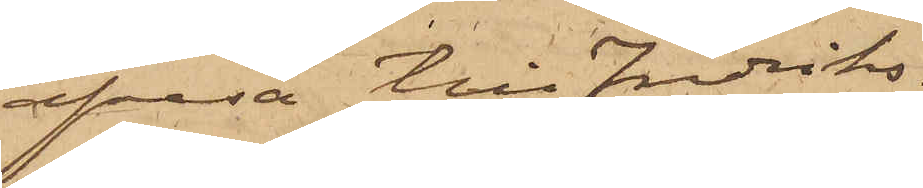afresa till Fredriks¬
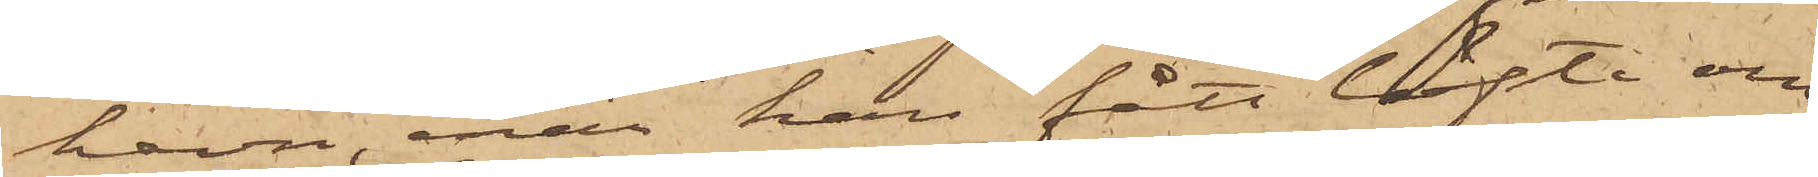havn, enär han fått löfte om
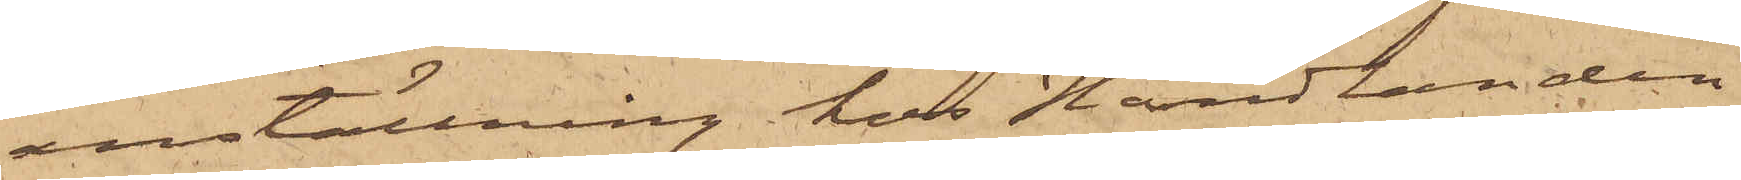anställning hos Handlanden
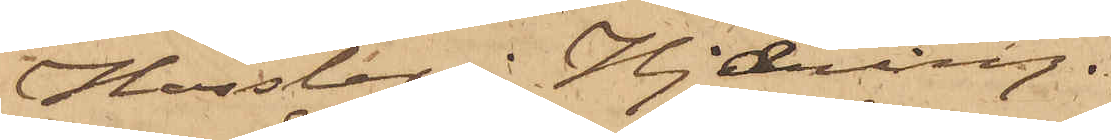Hassler i Hjoering.
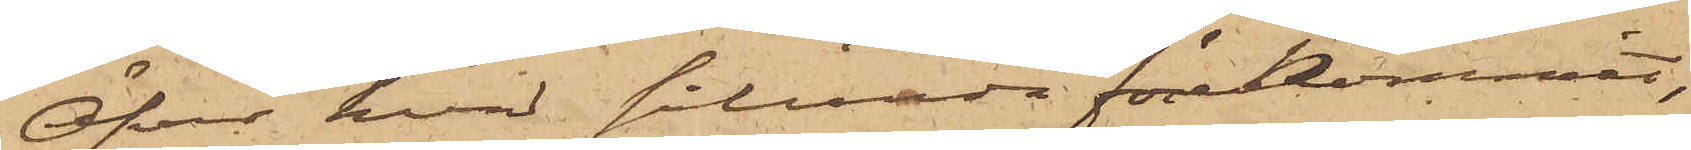Öfver hvad sålunda förekommit,
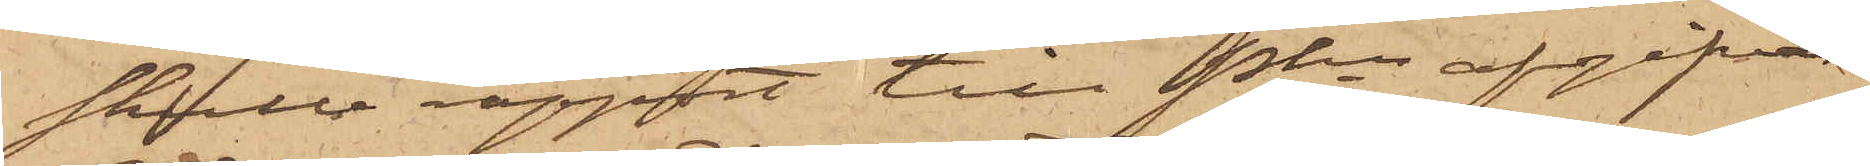skulle rapport till Pkn afgifvas
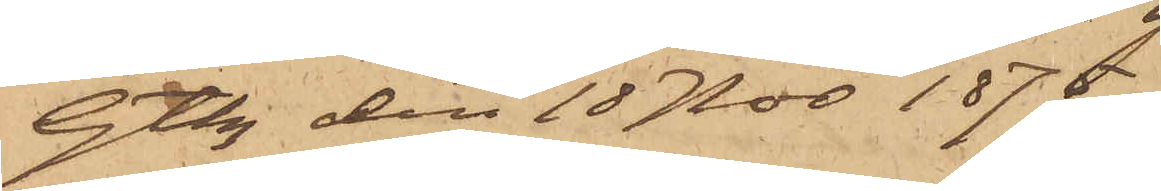Gtbg den 18 Nov 1875.
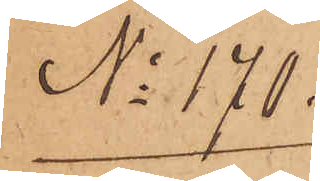No 170.
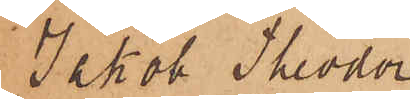Jakob Theodor
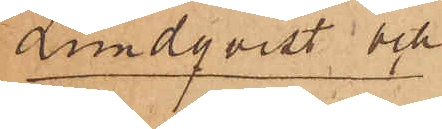Lundqvist och
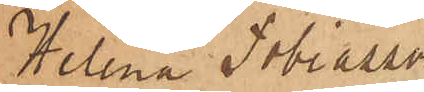Helena Tobiasson
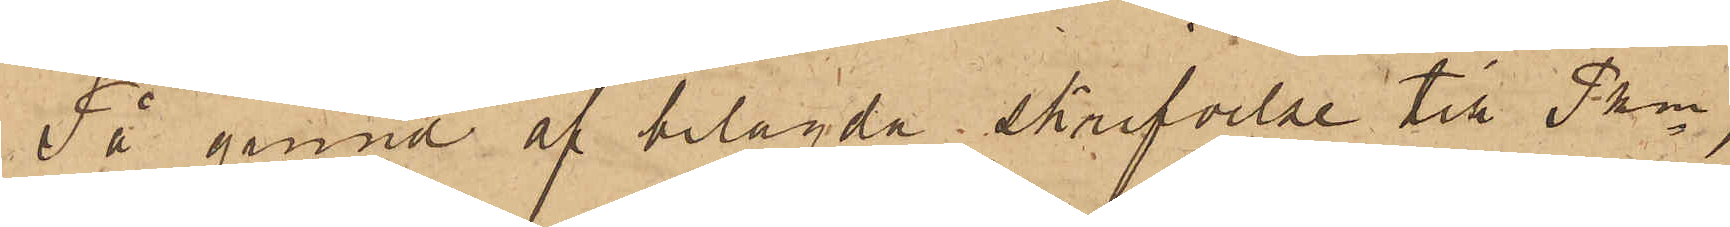På grund af bilagda Skrifvelse till Pkn,
